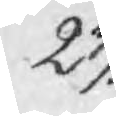23:
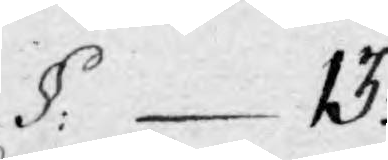§:13.
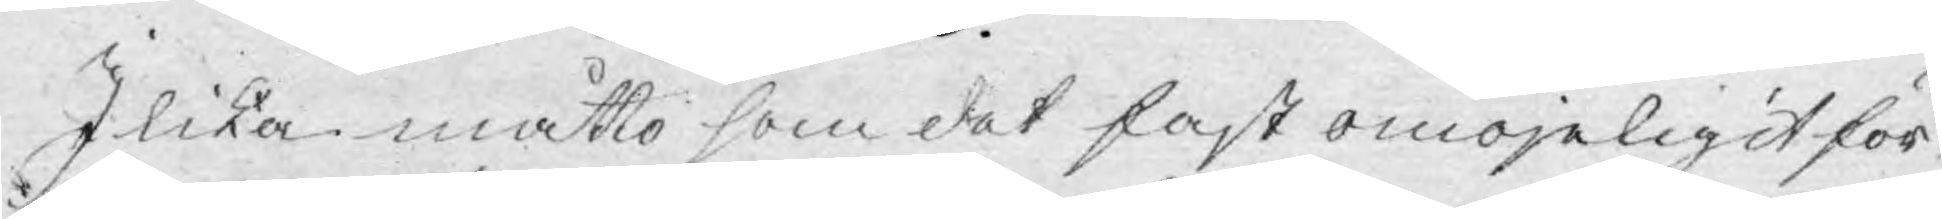I lika måtto som det fast omöjeligit för
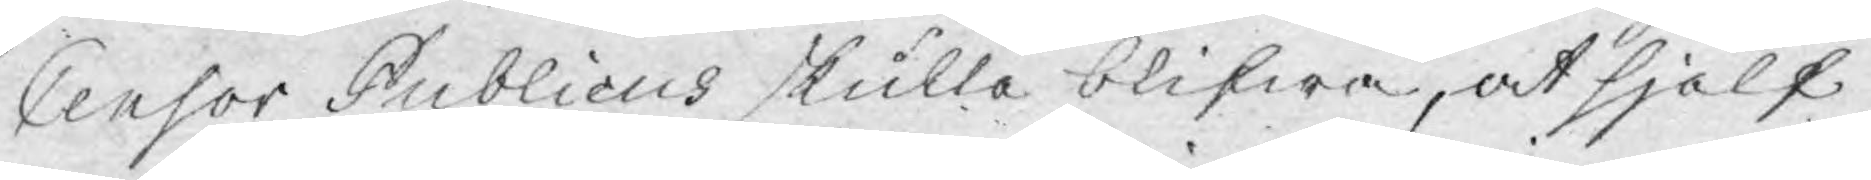Censor Publicus skulle blifwa, at sjelf
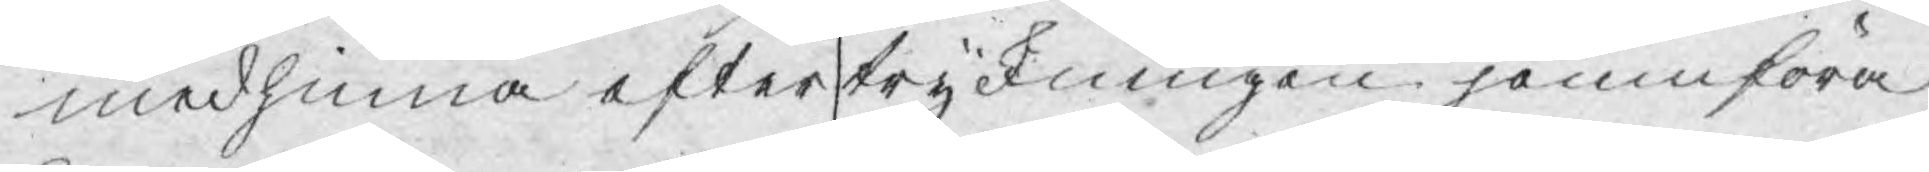medhinna efter tryckningen jemnföra
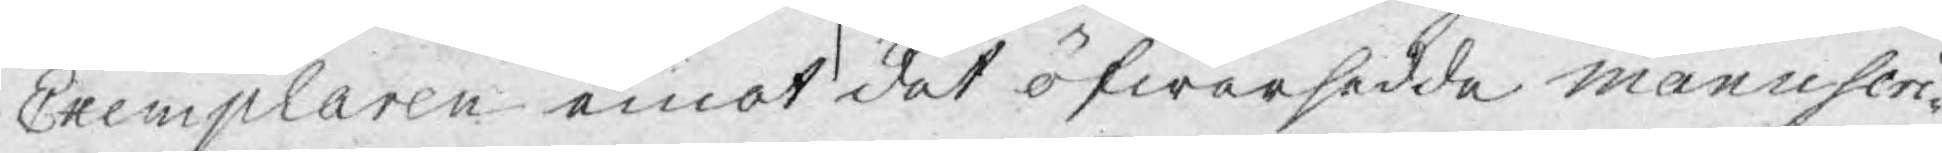Exemplaren emot det öfwersedde manuscri¬
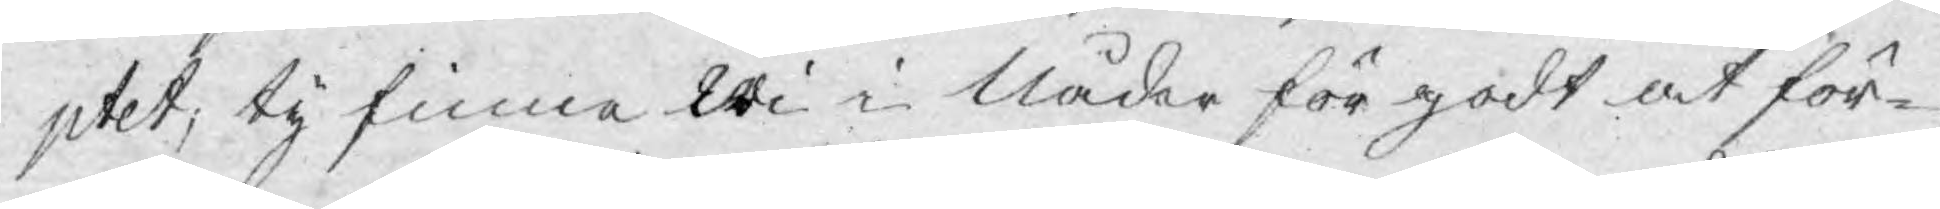ptet; ty finna Wi i Nåder för godt at för¬
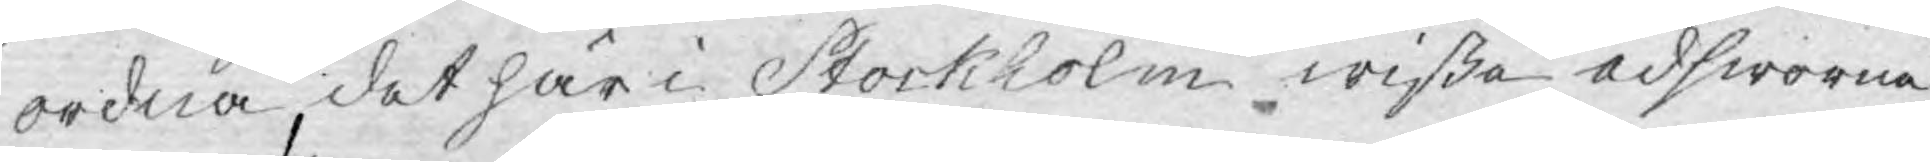ordna det här i Stockholm wißa edsworna
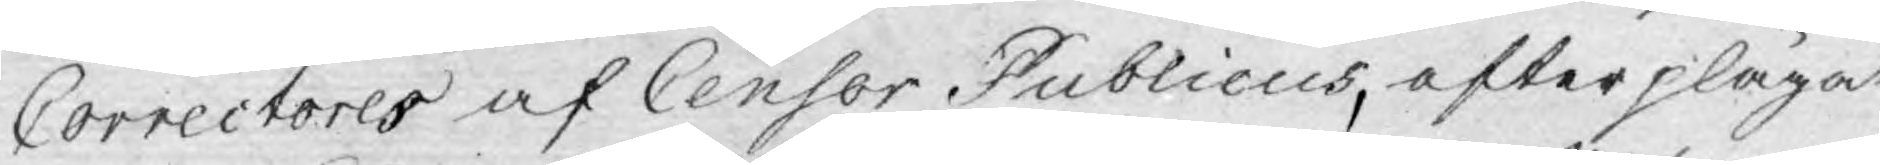Correctores af Censor Publicus, efter plägat
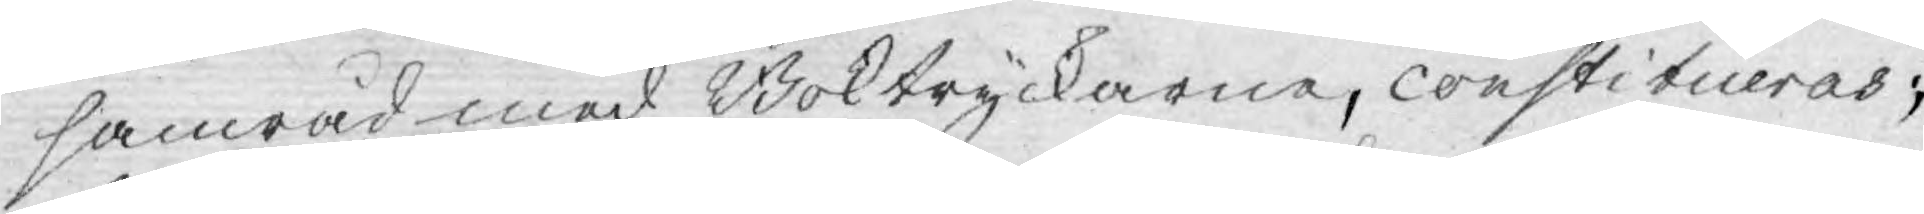samråd med Boktryckarne, constitueras;
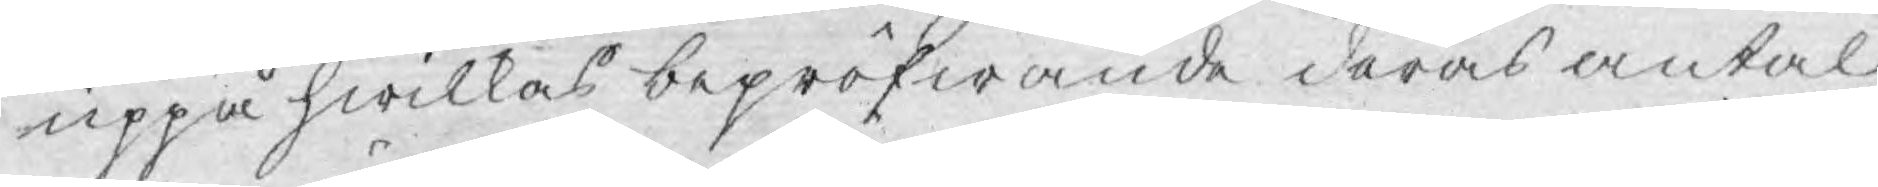uppå hwilkas bepröfwande deras antal
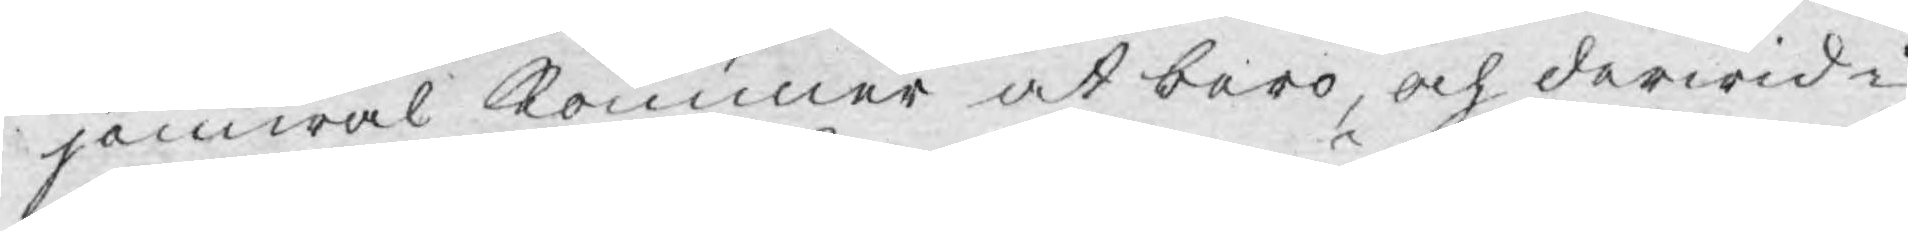jämwäl kommer at bero, och derwid i
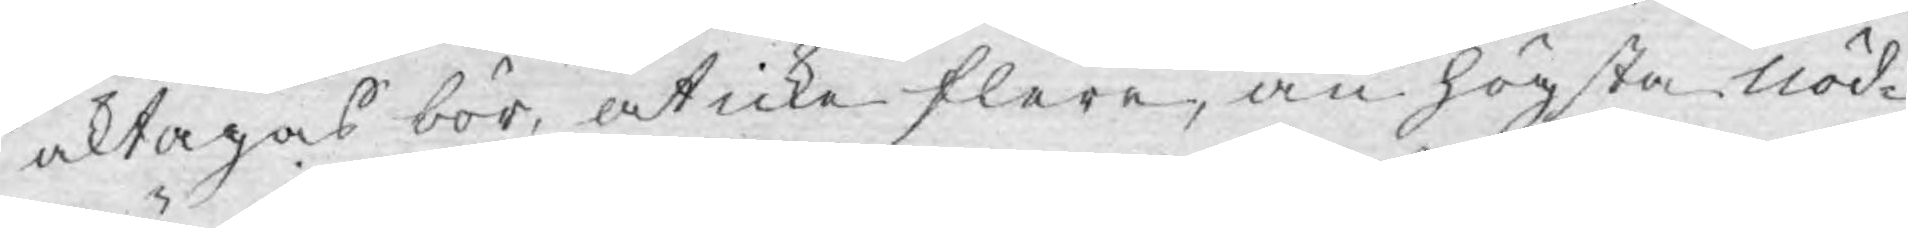aktagas bör, at icke flere, än högsta nöd¬
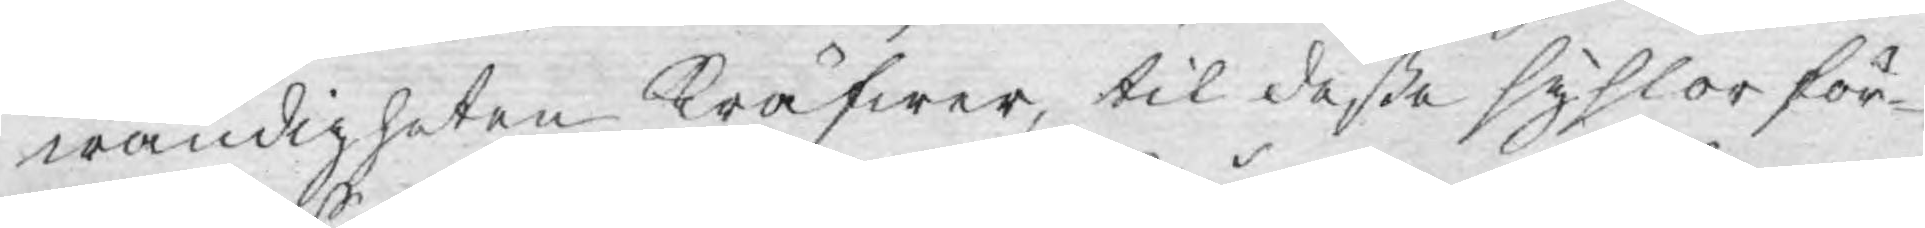wändigheten kräfwer, til deße syslor för¬
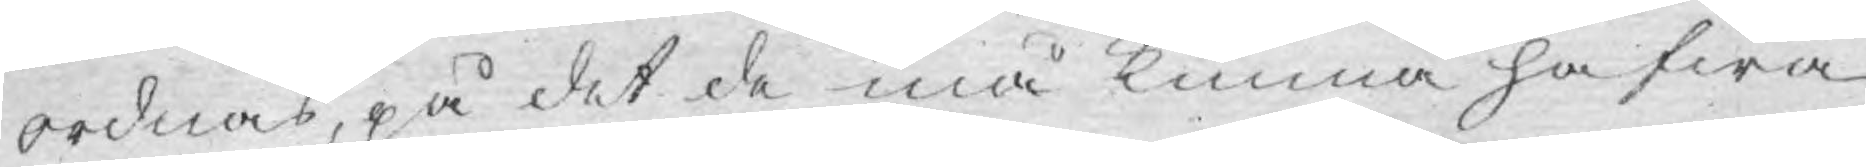ordnas, på det de må kunna hafwa
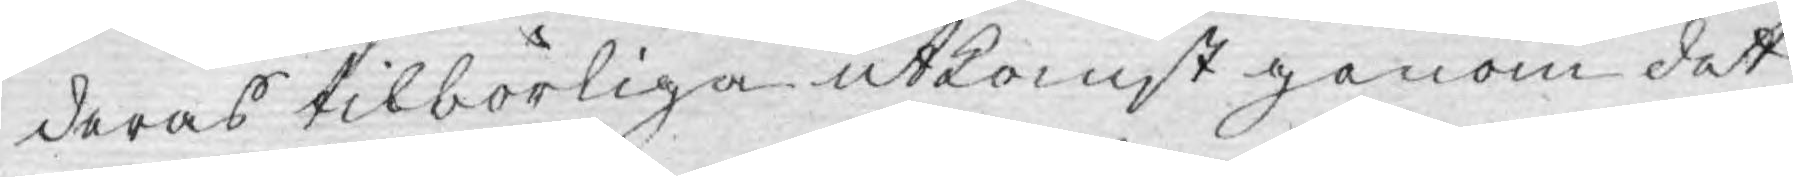deras tilbörliga utkomst genom det
